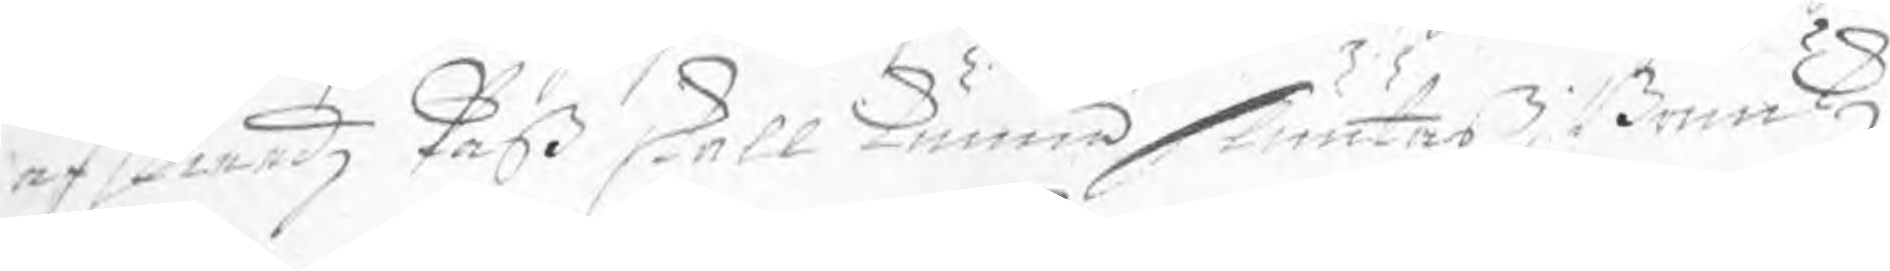afskiedz Paß skall kunna sluutas; Bruukz
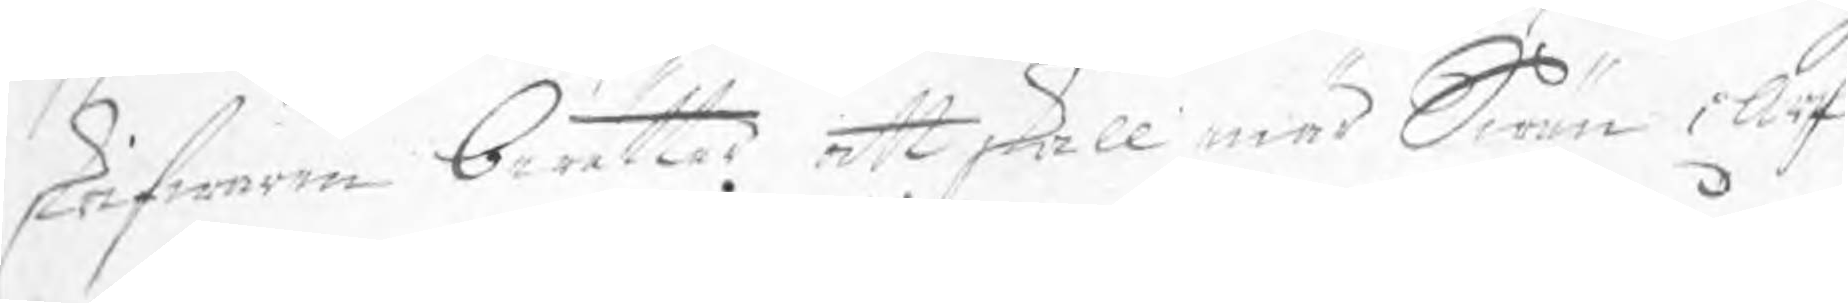skrifwaren berättar att skall enär Swän i Arf¬
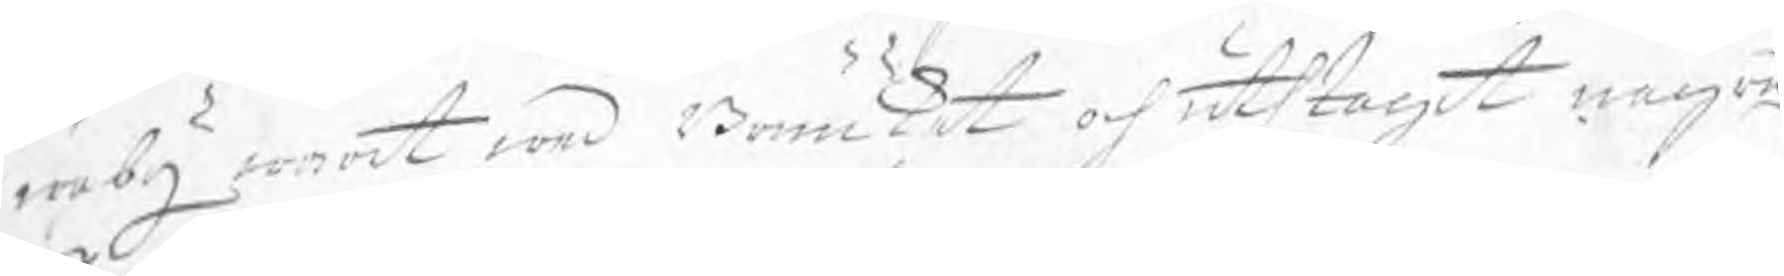weby warit wed Bruuket och uthtagit några 
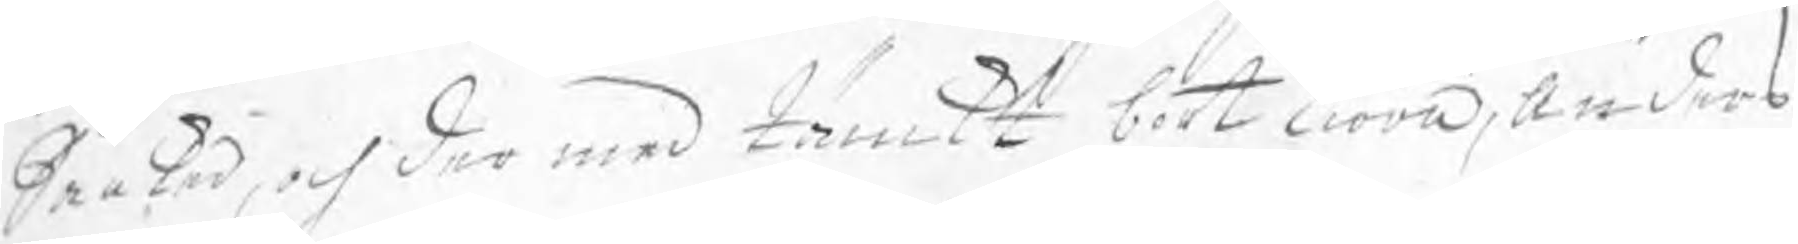Saaker, och der med tänkt bortkiöra, Anders
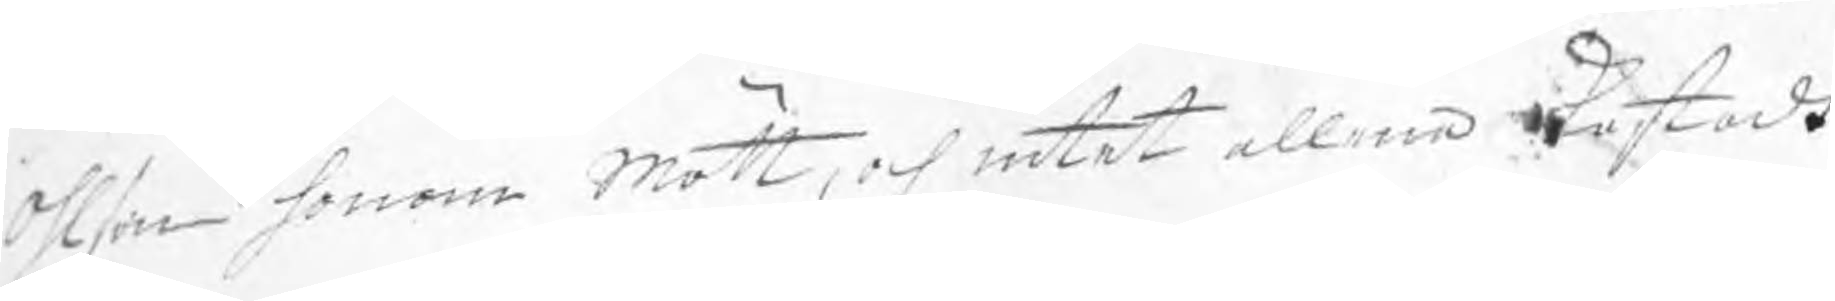Ohlson honom mött, och intet allena kastadt
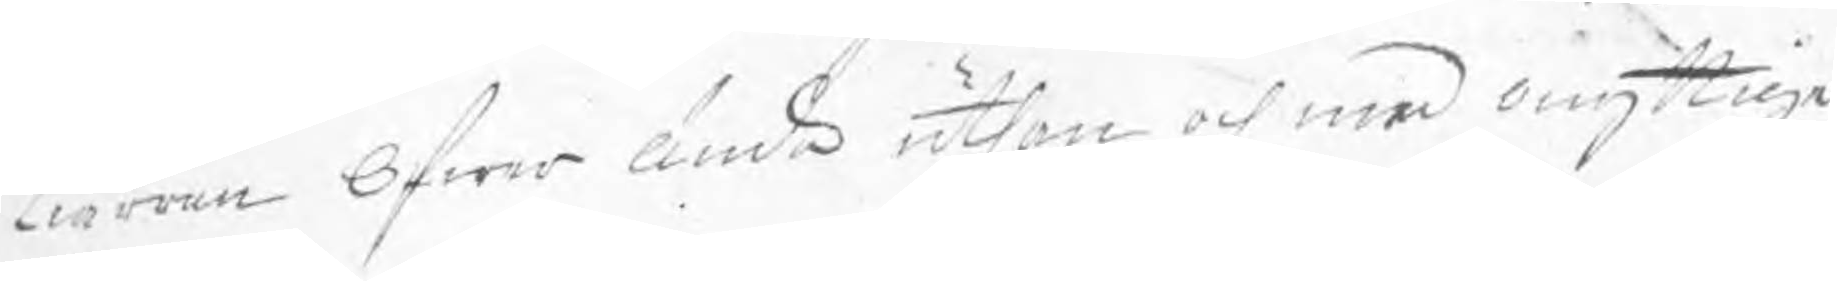kiärran öfwer ända uthan och med onyttige
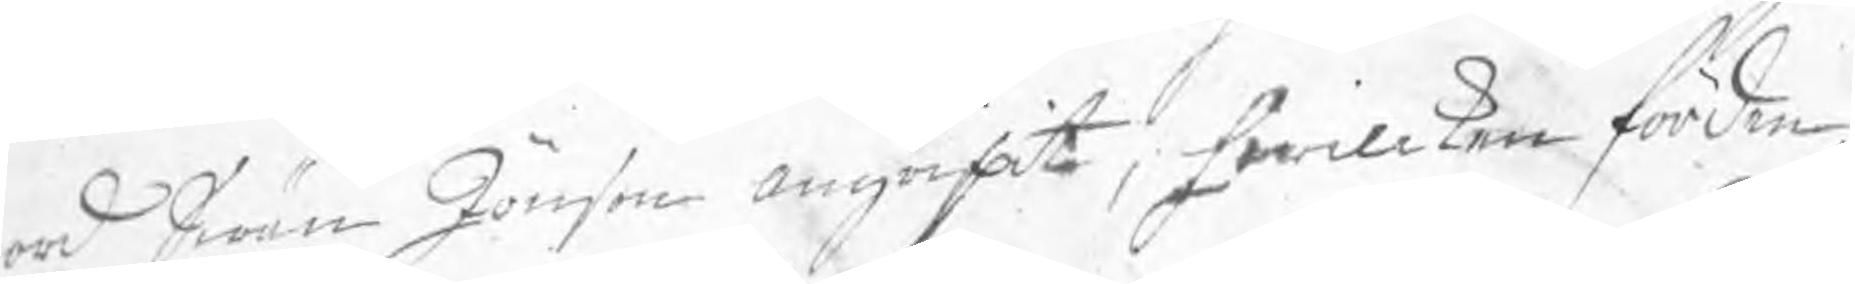ord Swän Jönson angripit, hwillken förden¬
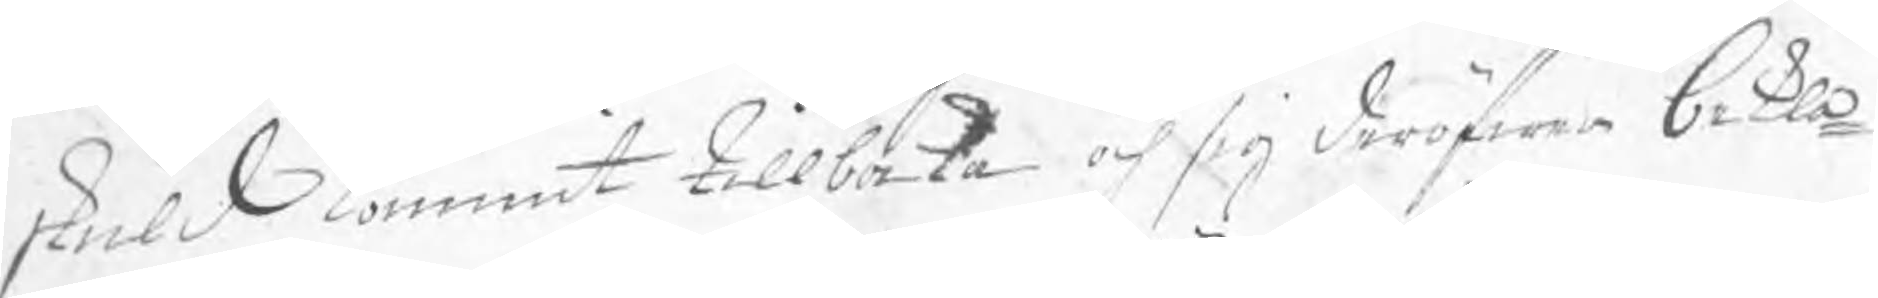skuld kommit tillbaka och sig deröfwer bekla¬
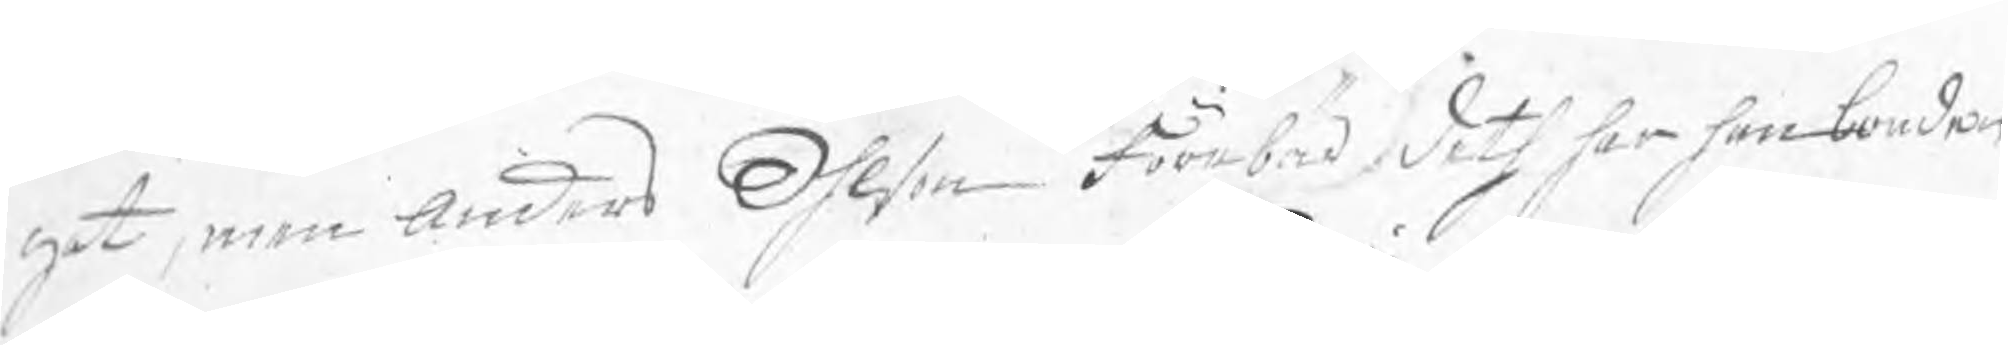gat, men Anders Ohlson förebad deth har han bonden
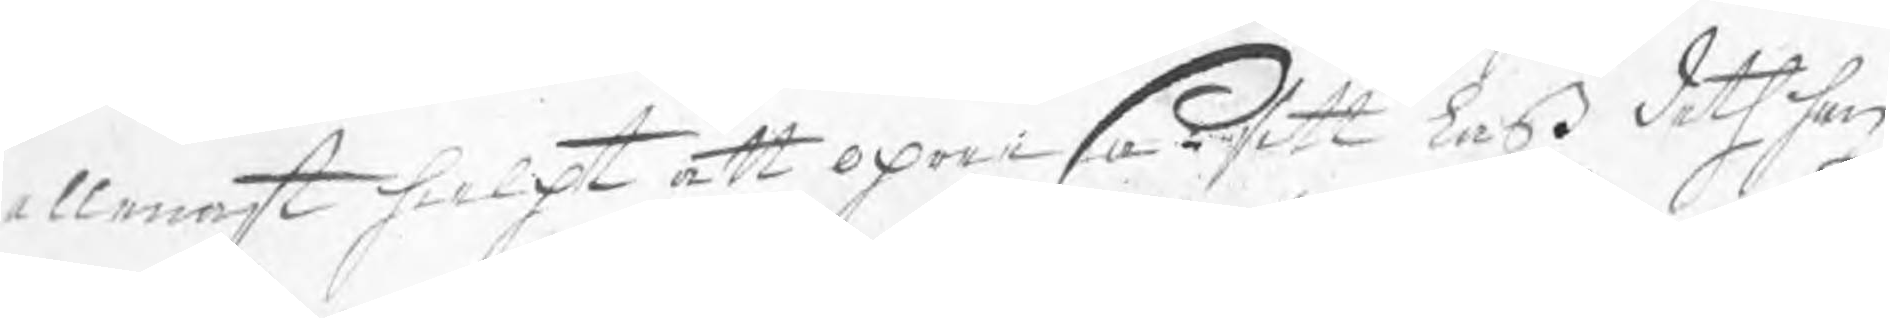allenast hielpt att opreesa sitt laß deth han
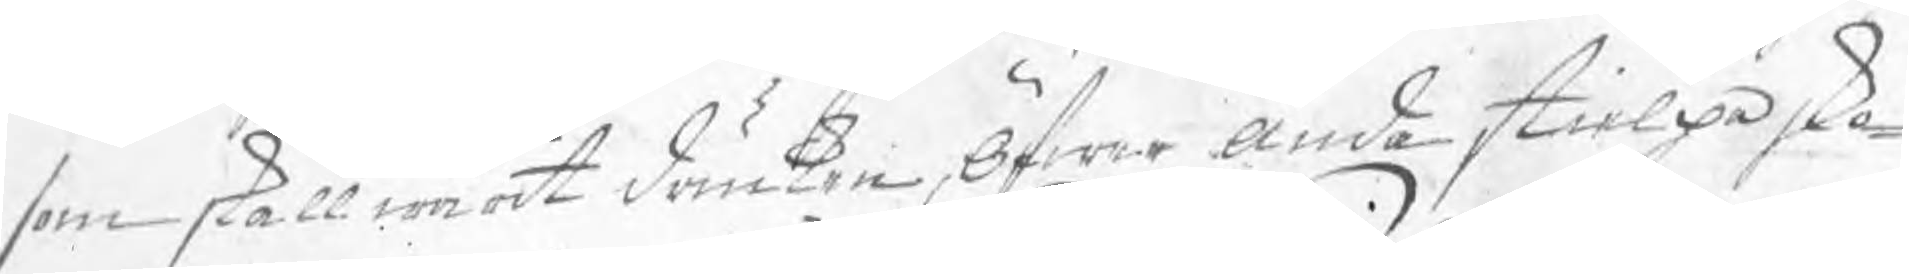som skall warit druken, öfwer ända stielpa sko¬
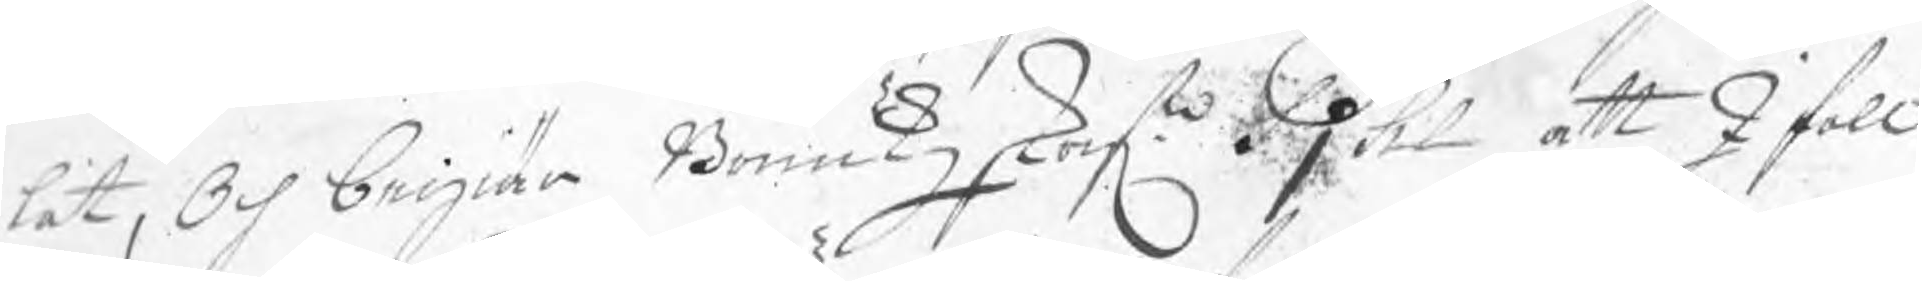lat, Och begiär Bruukzskrifn Pjhl att Ifall
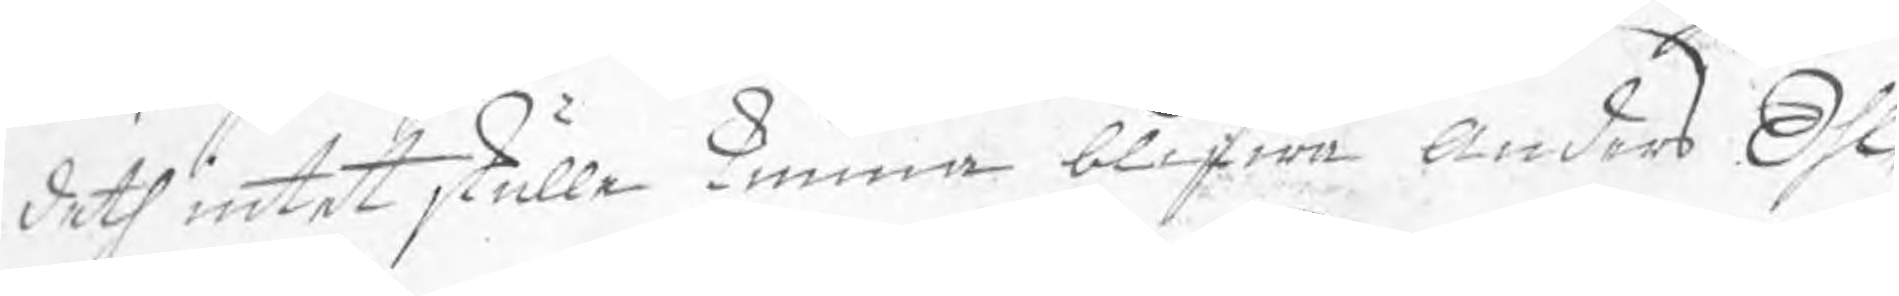¬deth intet skulle kunna blifwa Anders Ohl
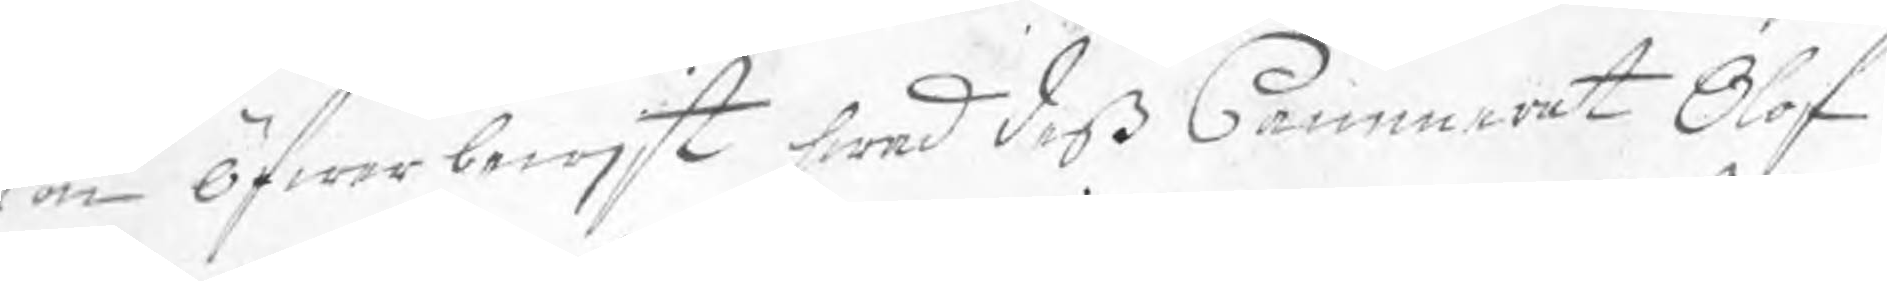son öfwerbewjst hwad deß Cammerat Olof
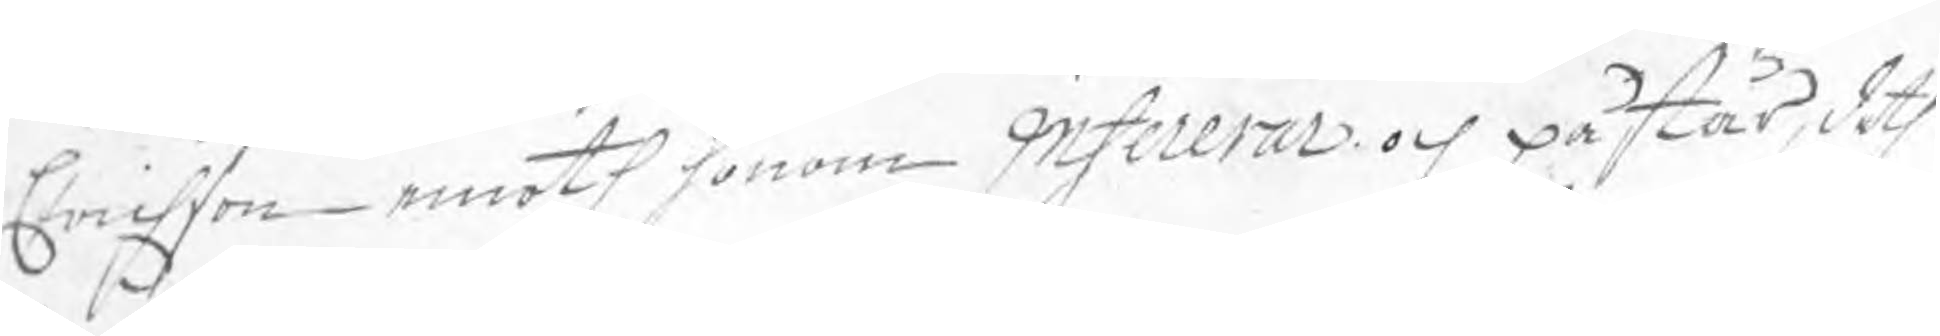Erichson emoth honom infererar och påstår, deth
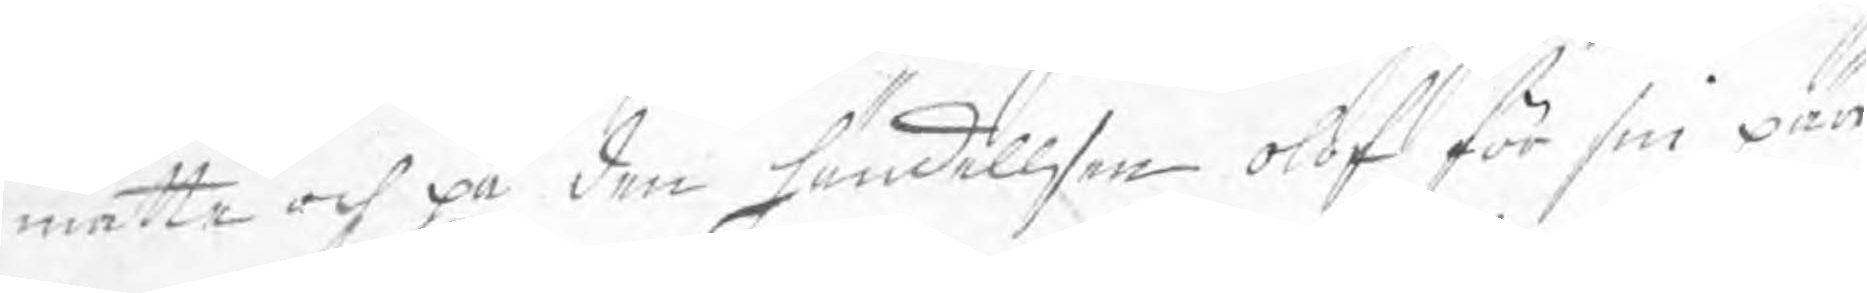måtte och på den händellsen olof för sin pär
